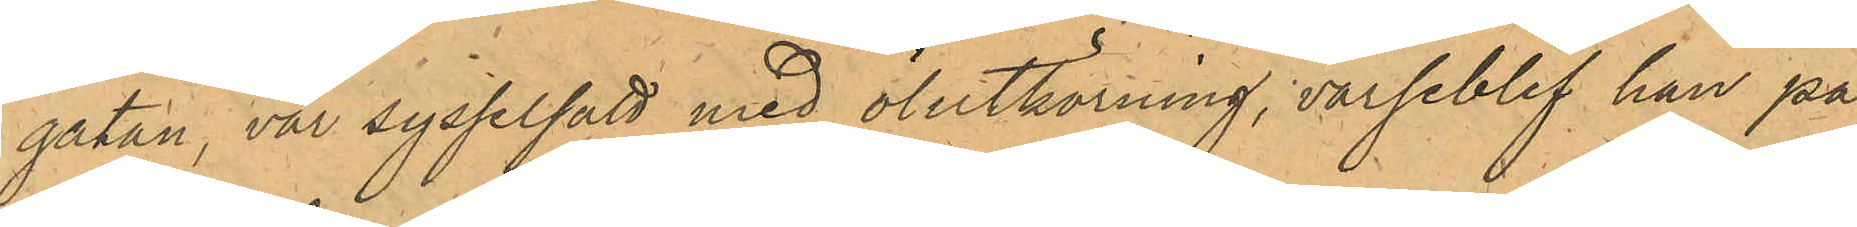gatan, var sysselsatt med ölutkörning, varseblef han på
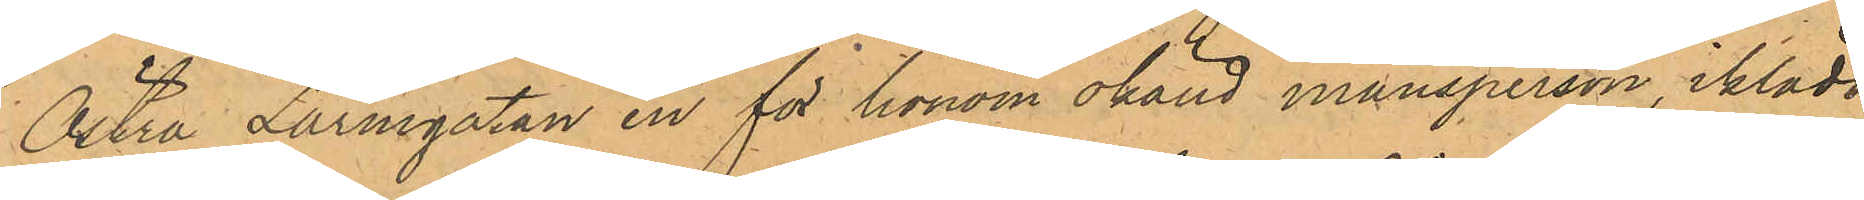Östra Larmgatan en för honom okänd mansperson, iklädd
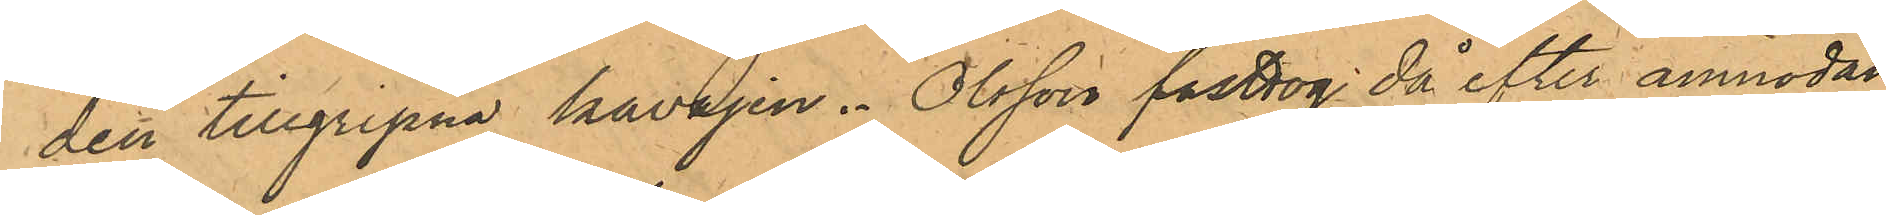den tillgripna kavajen. Olsson fasttog då efter anmodan
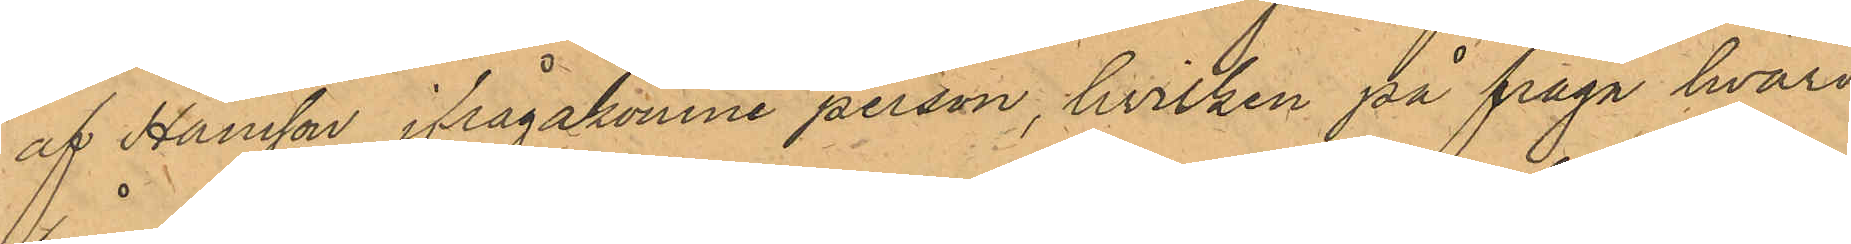af Hansson ifrågakomne person, hvilken på fråga hvari¬
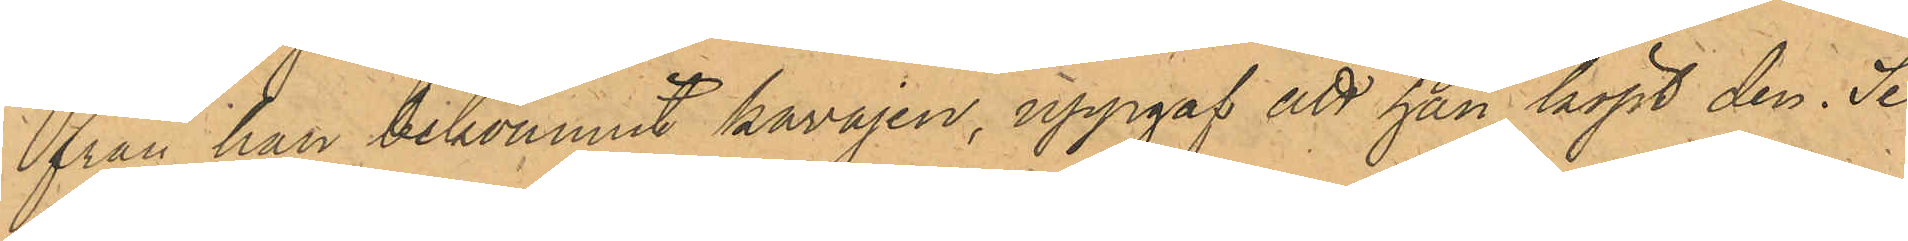från han bekommit kavajen, uppgaf att han köpt den. Se¬
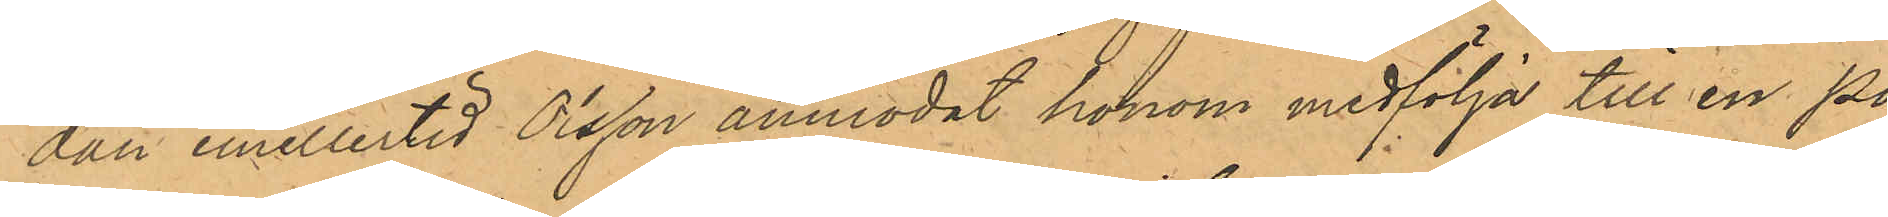dan emellertid Olsson anmodat honom medfölja till en Po¬
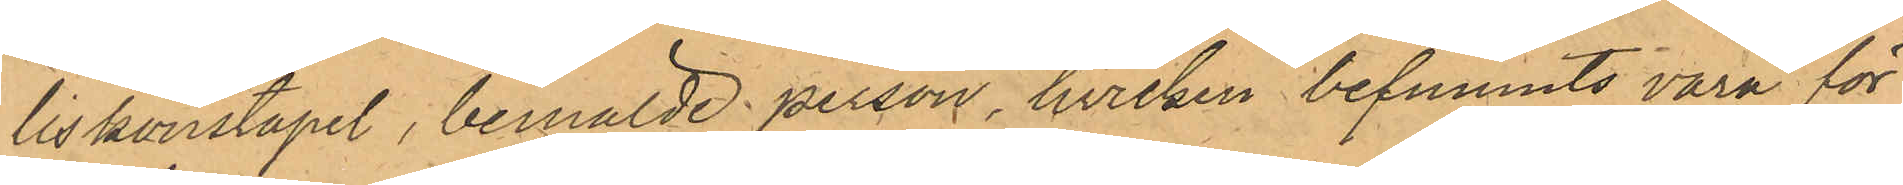liskonstapel, bemälde person, hvilken befunnits vara för
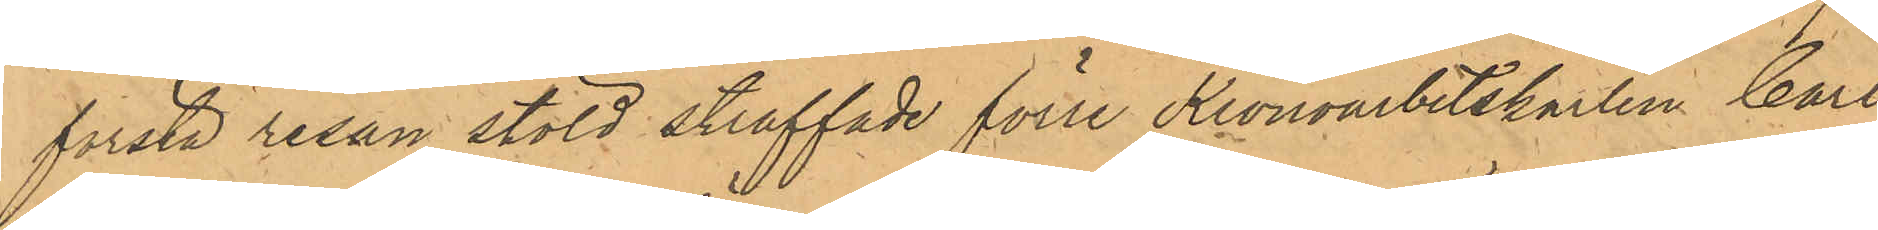första resan stöld straffade förre Kronoarbetskarlen Carl
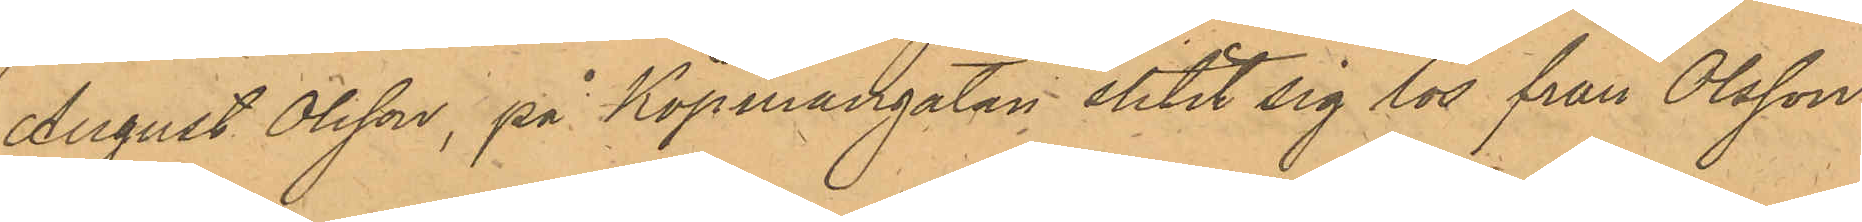August Olsson, på Köpmangatan slitit sig lös från Olsson
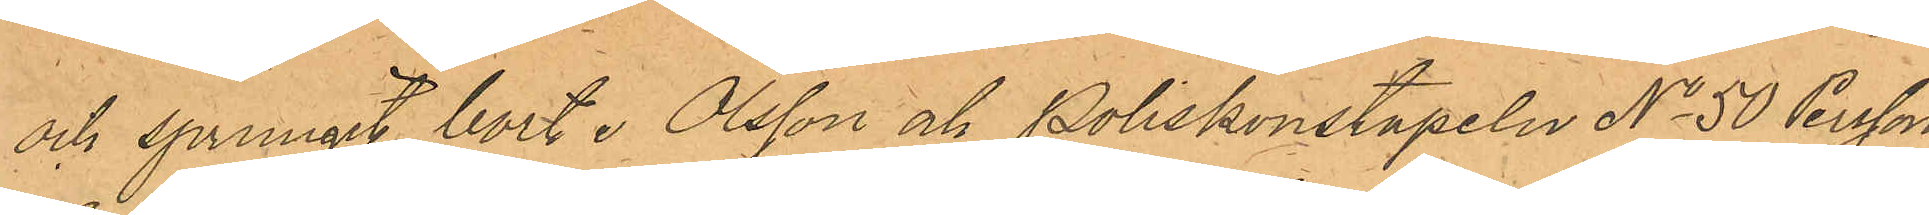och sprungit bort. Olsson och Poliskonstapeln No 50 Persson,
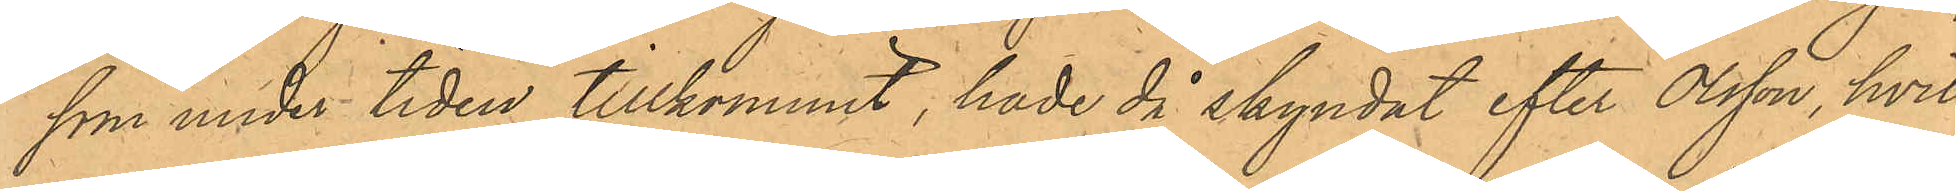som under tiden tillkommit, hade då skyndat efter Olsson, hvil¬
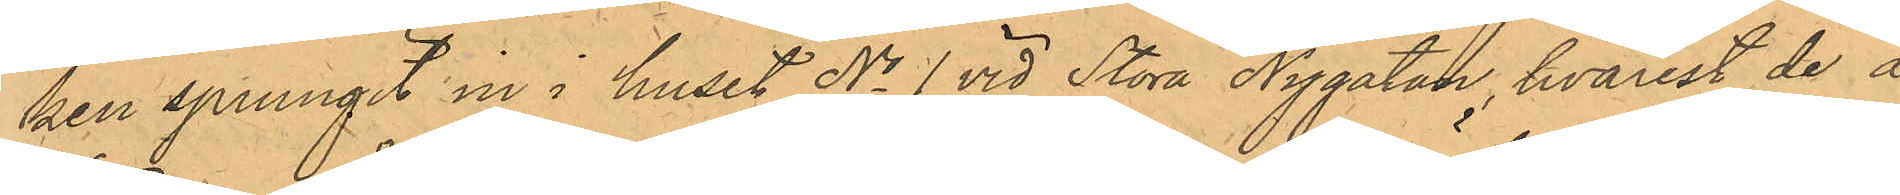ken sprungit in i huset No 1 vid Stora Nygatan, hvarest de å
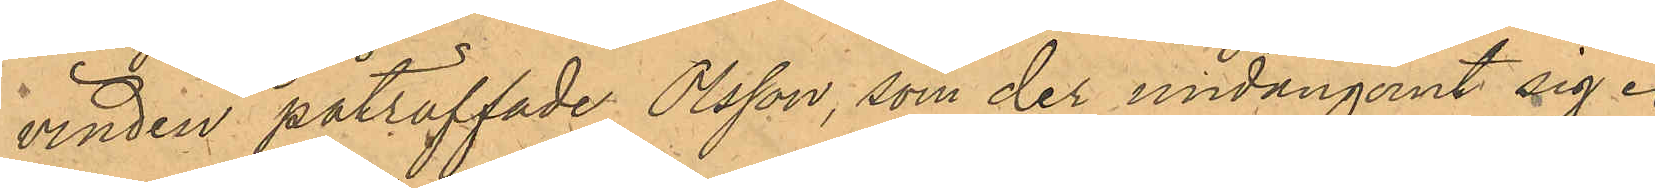vinden påträffade Olsson, som der undangömt sig.
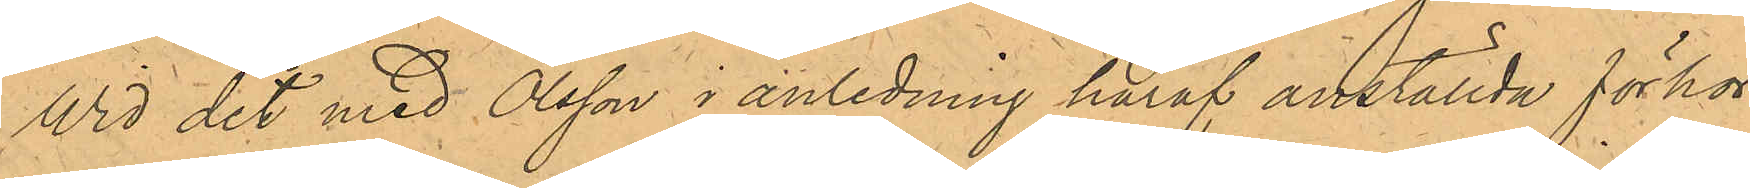Wid det med Olsson i anledning häraf anställda förhör
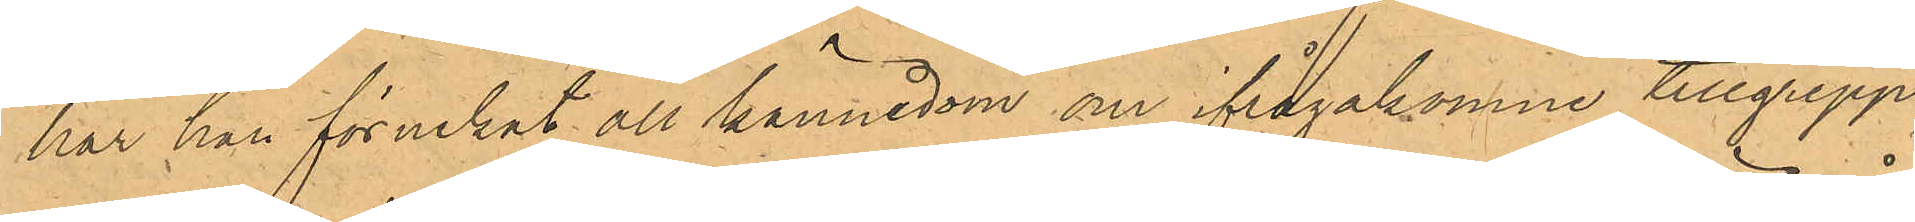har han förnekat all kännedom om ifrågakomne tillgrepp
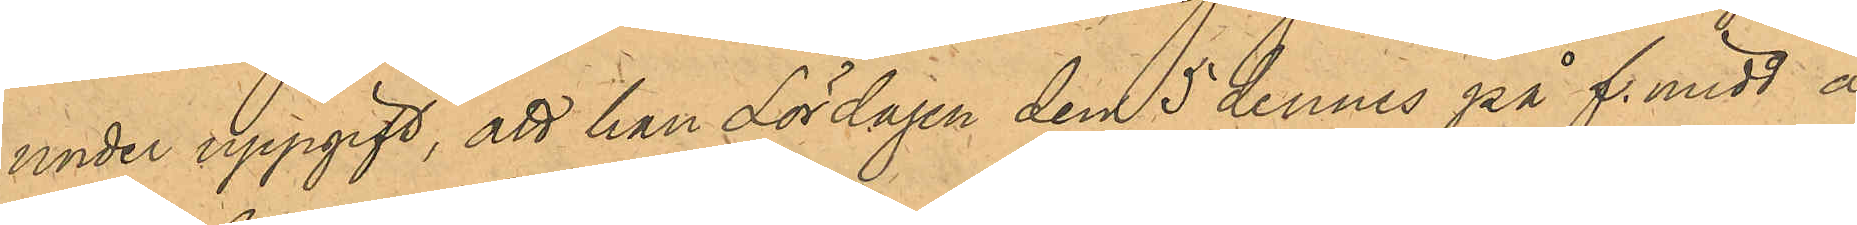under uppgift, att han Lördagen den 5 dennes på f. midd å
